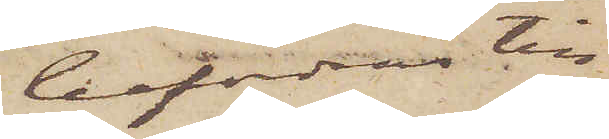befordras till
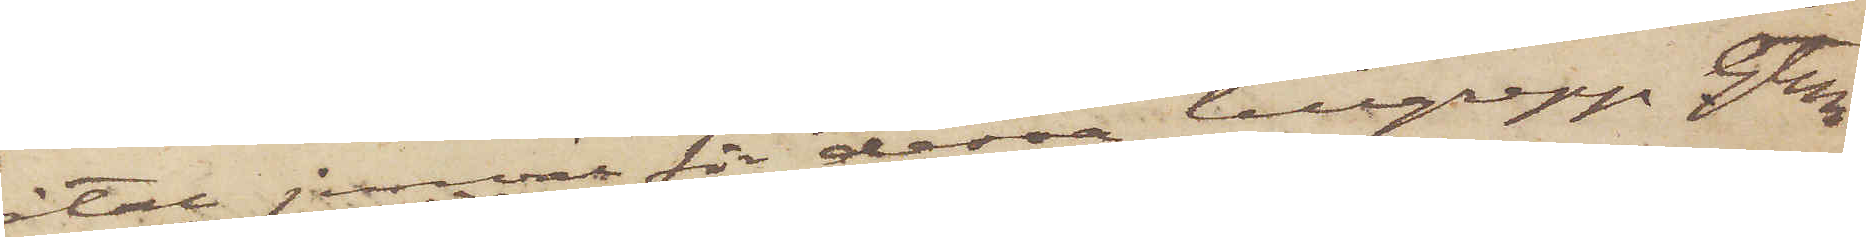åtal jemväl för dessa tillgrepp. Gtbg
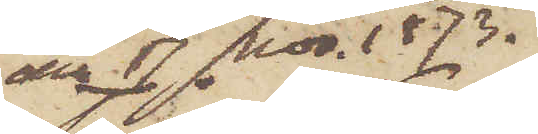den 17 Nov. 1873.
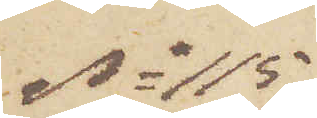No 115
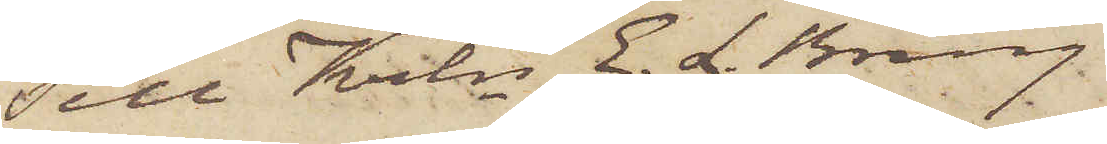Till Krln E. L. Bring
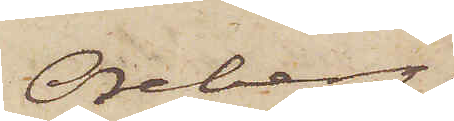Oseberg
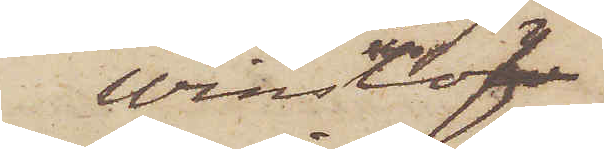Winslöf
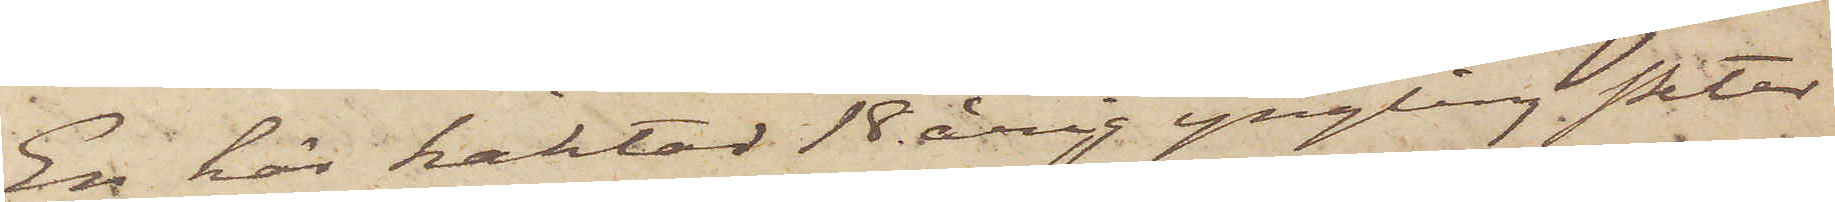En här häktad 18 årig yngling Peter
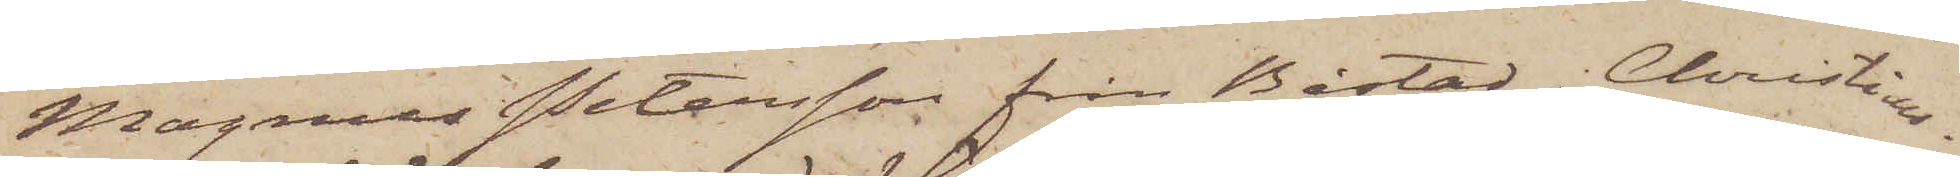Magnus Petersson från Båstad i Christians¬
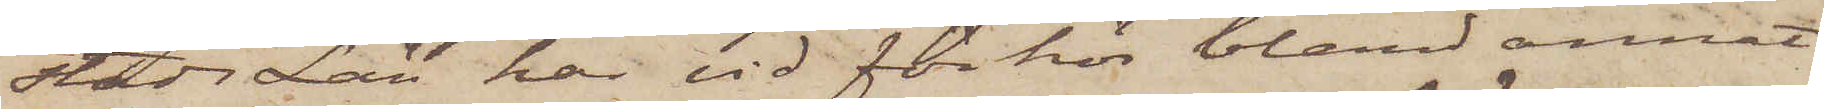stads Län har vid förhör bland annat
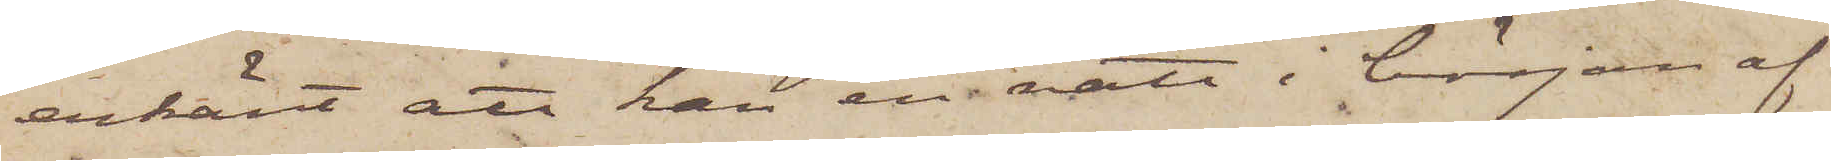erkänt, att han en natt i början af
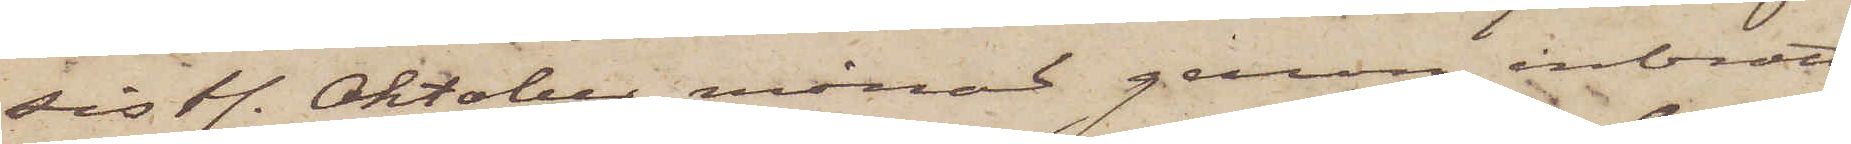sistl. Oktober månad genom inbrott
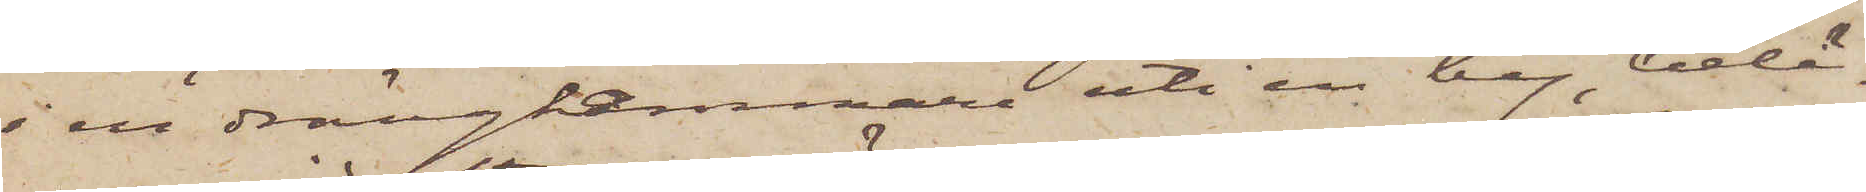i en drängkammare uti en by, belä¬
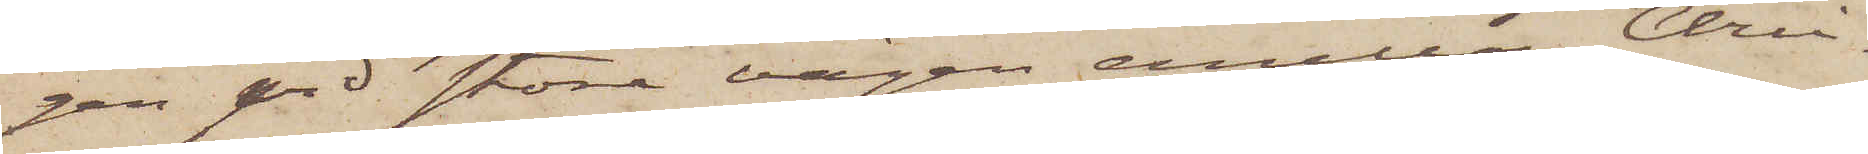gen vid stora vägen emellan Chri¬
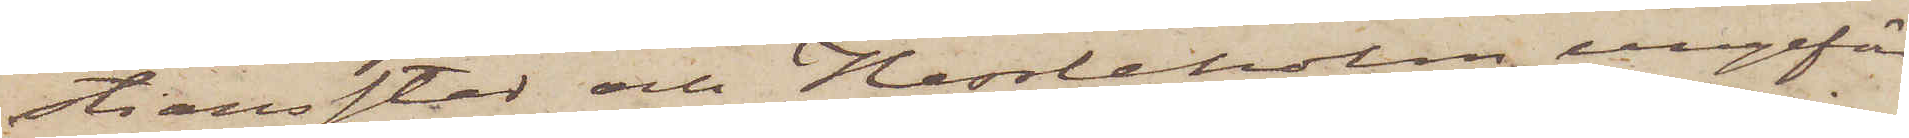stiansstad och Hessleholm, ungefär
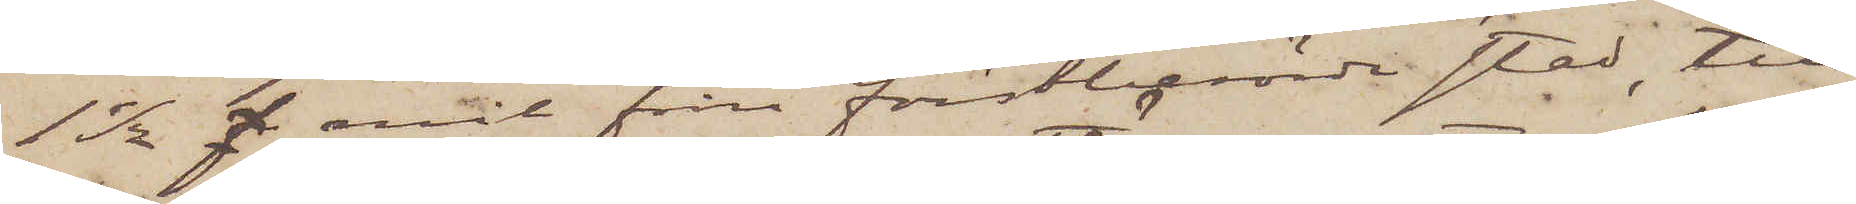1 1/2 f. mil från förstberörde stad, till¬
